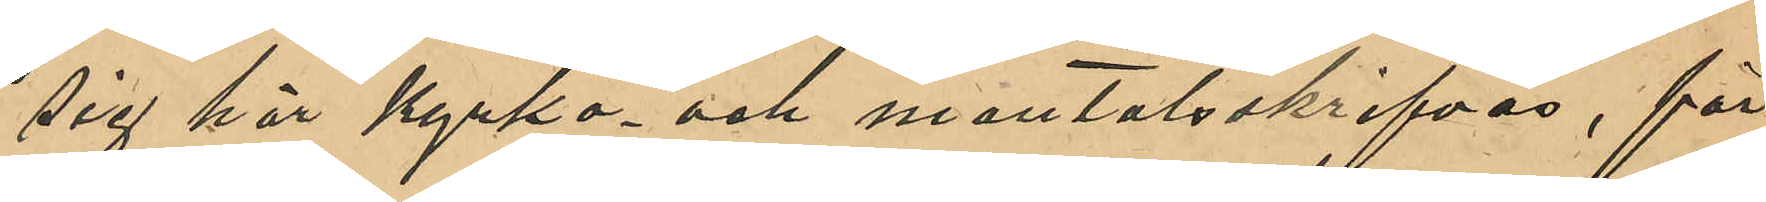sig här kyrko- och mantalsskrifva, för
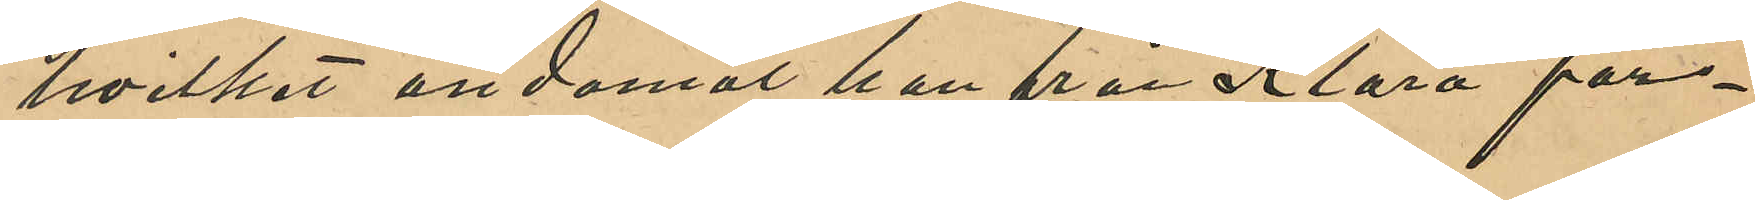hvilket ändamål han från Klara för¬
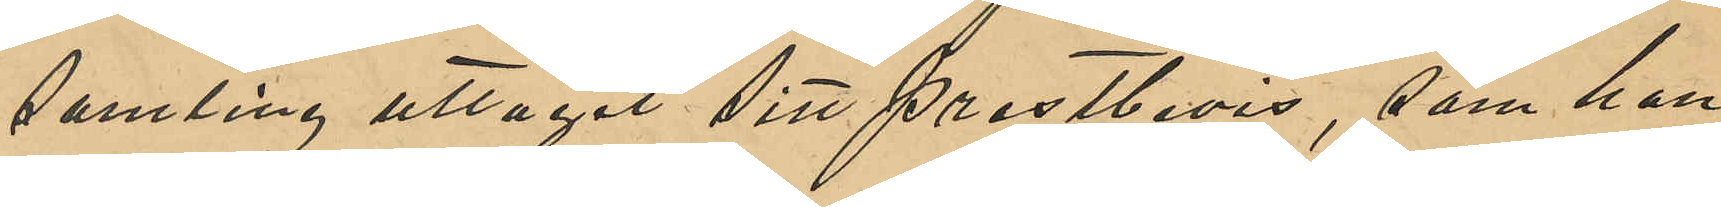samling uttagit sitt prestbevis, som han
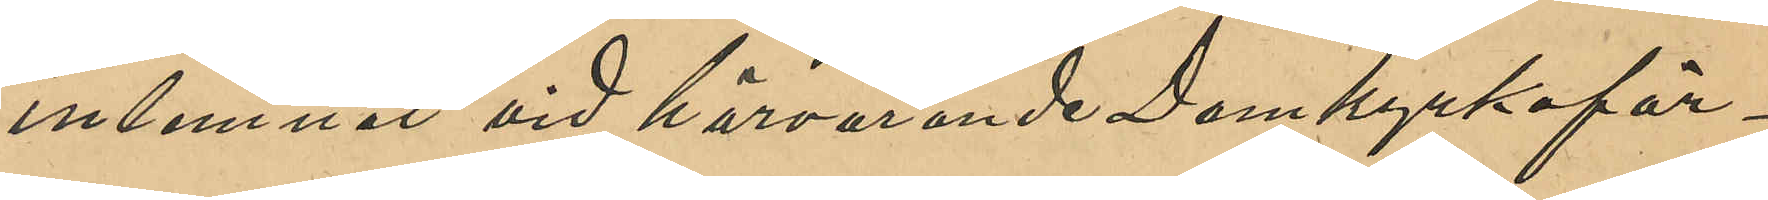inlemnat vid härvarande Domkyrkoför¬
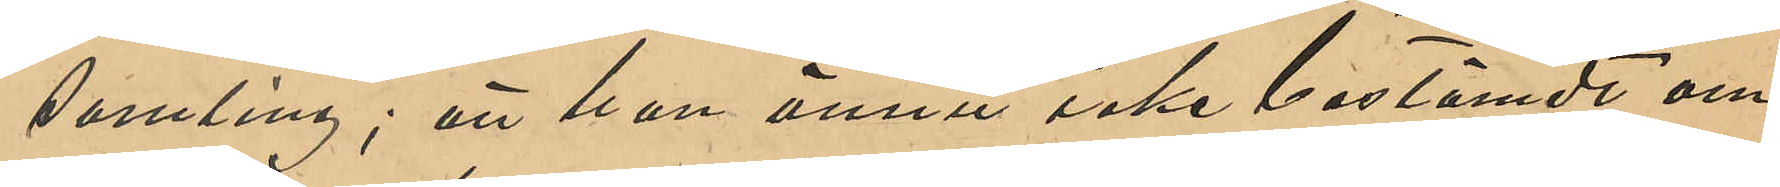samling; att han ännu icke bestämdt om
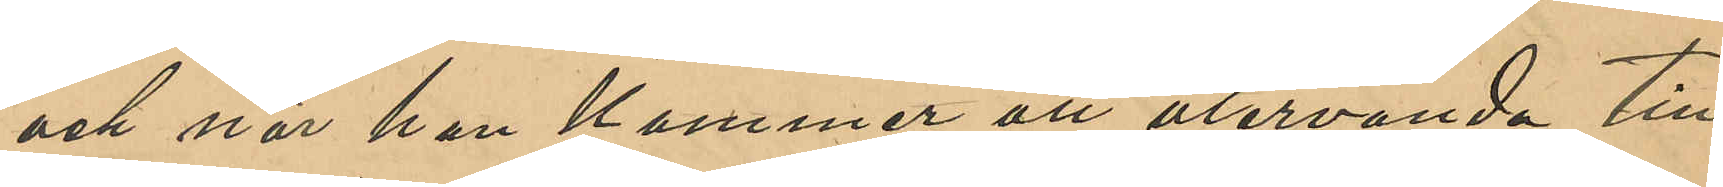och när han kommer att återvända till
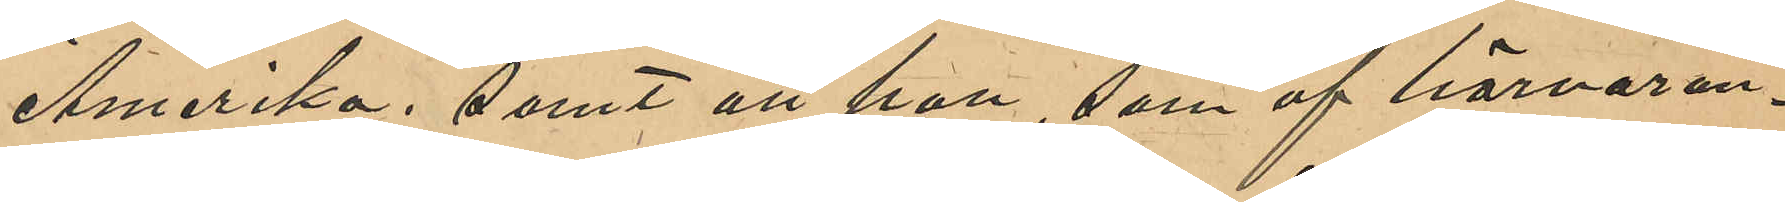Amerika; samt att han, som af härvaran¬
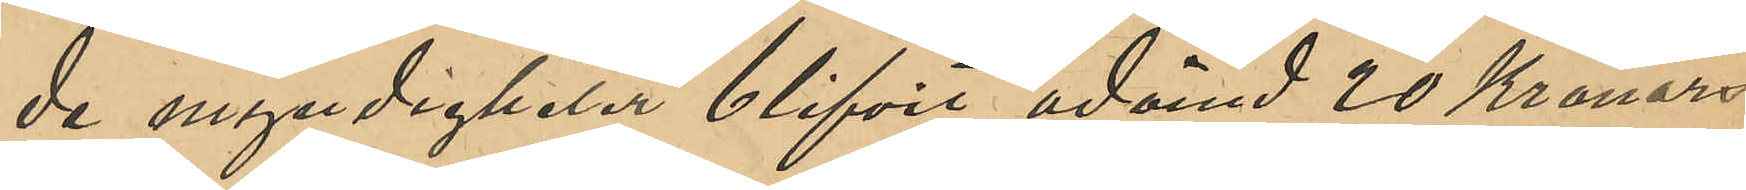de myndigheter blifvit ådömd 20 Kronors
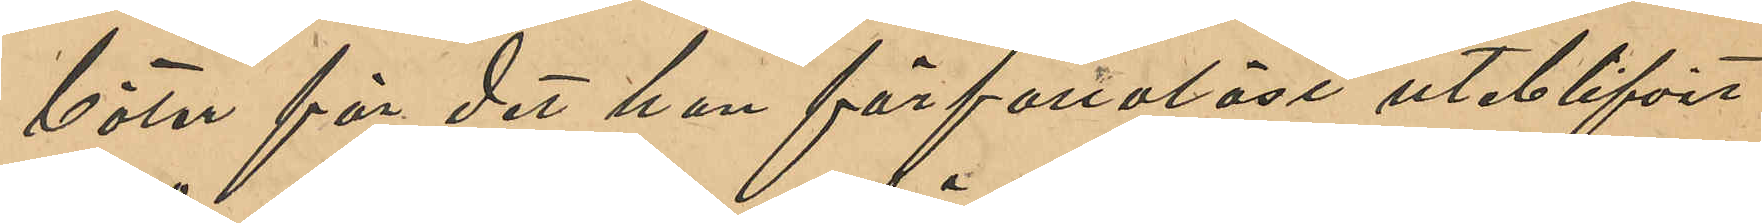böter för det han förfallolöst uteblifvit
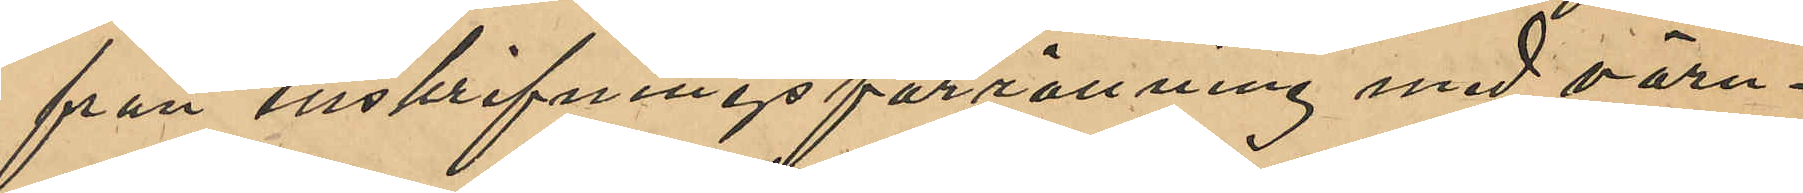från inskrifningsförrättning med värn¬
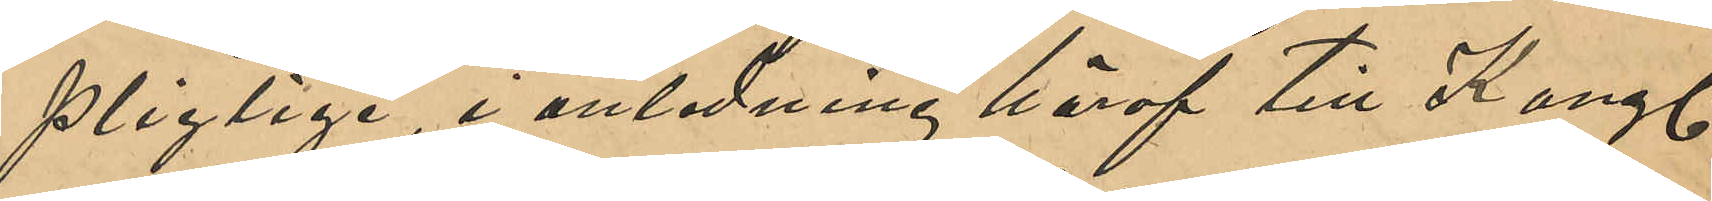pligtige, i anledning häraf till Kongl
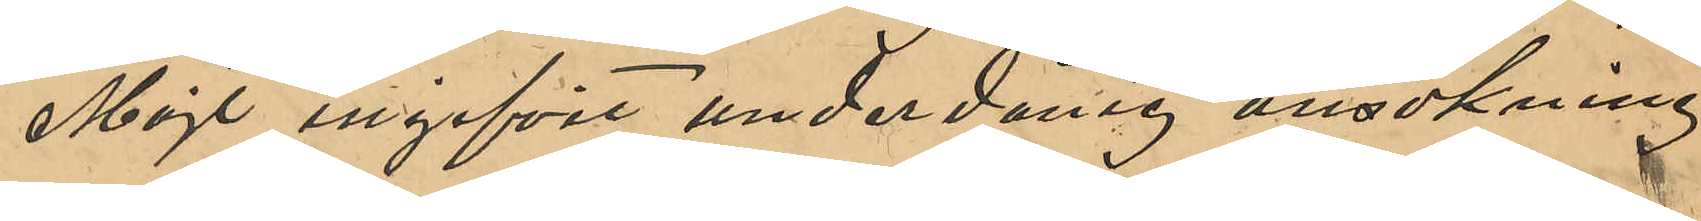Majt ingifvit underdånig ansökning
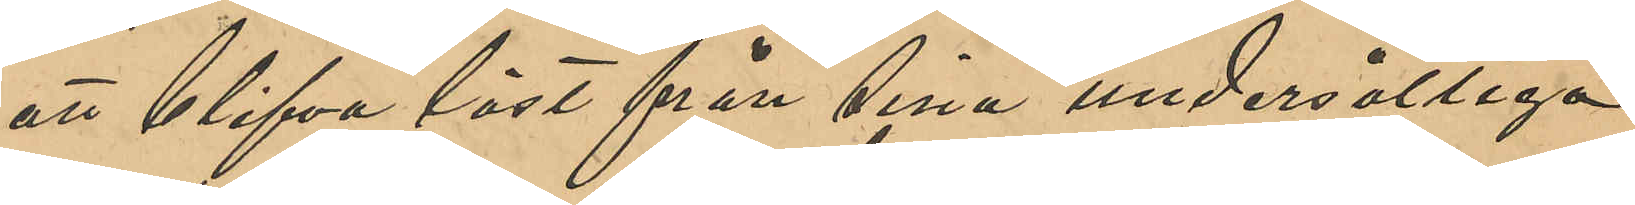att blifva löst från sina undersåtliga
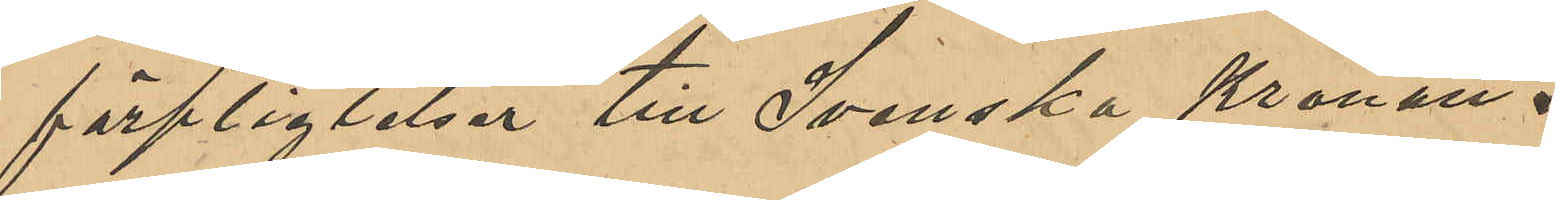förpliktelser till Svenska Kronan.
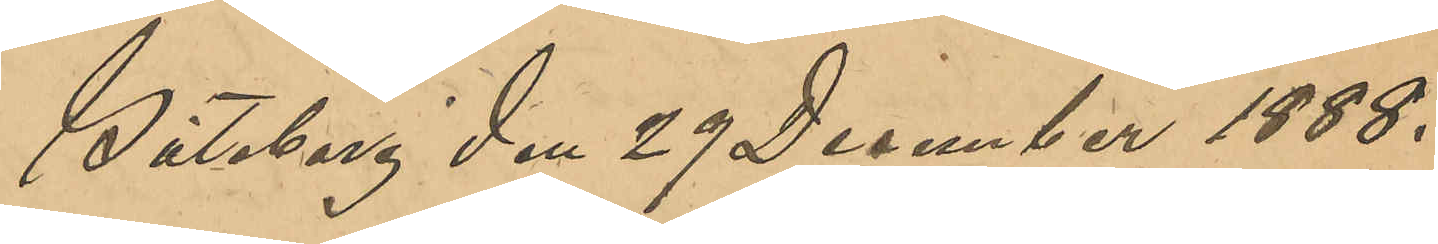Göteborg den 29 December 1888.
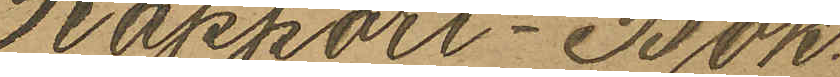Rapport-Bok.
